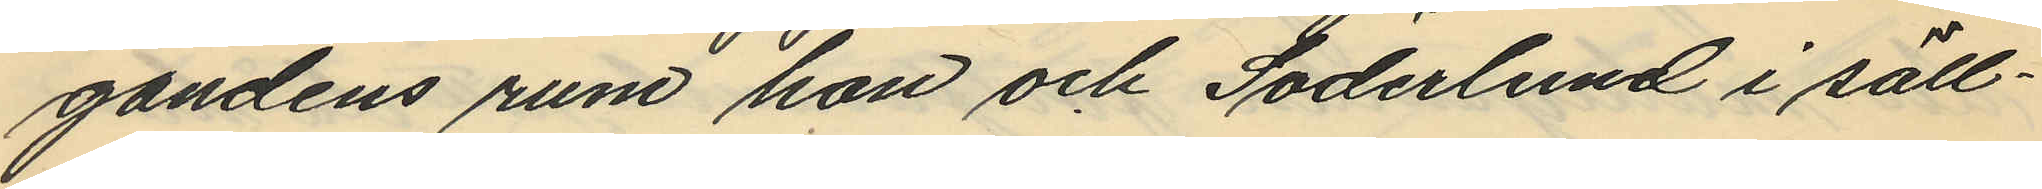gandens rum hon och Söderlund i säll¬
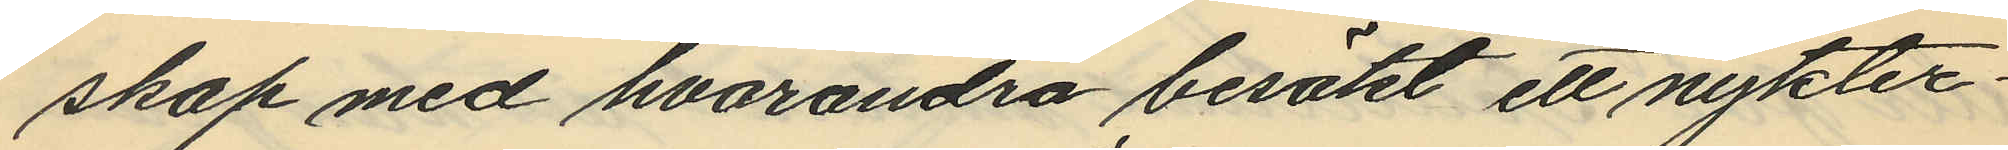skap med hvarandra besökt ett nykter¬
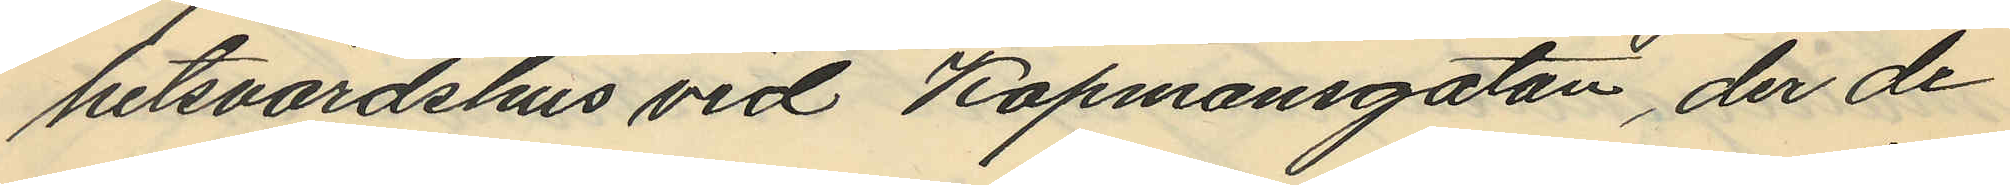hetsvärdshus vid Köpmansgatan, der de
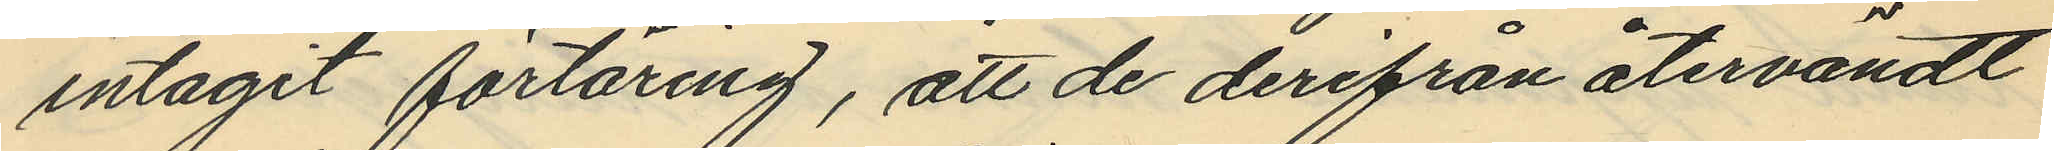intagit förtäring, att de derifrån återvändt
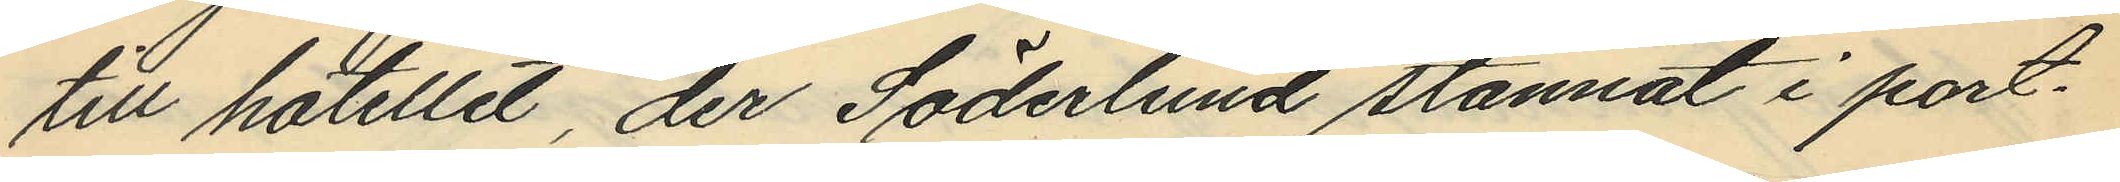till hotellet, der Söderlund stannat i port¬
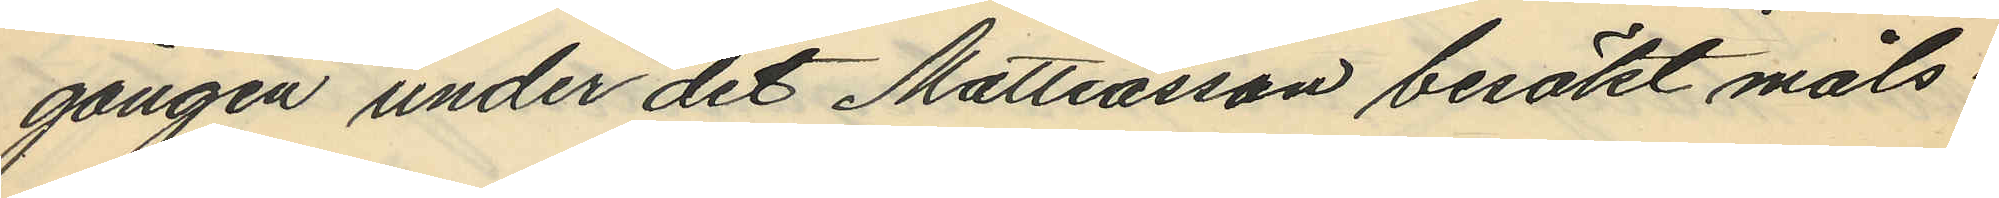gången under det Mattiasson besökt måls¬
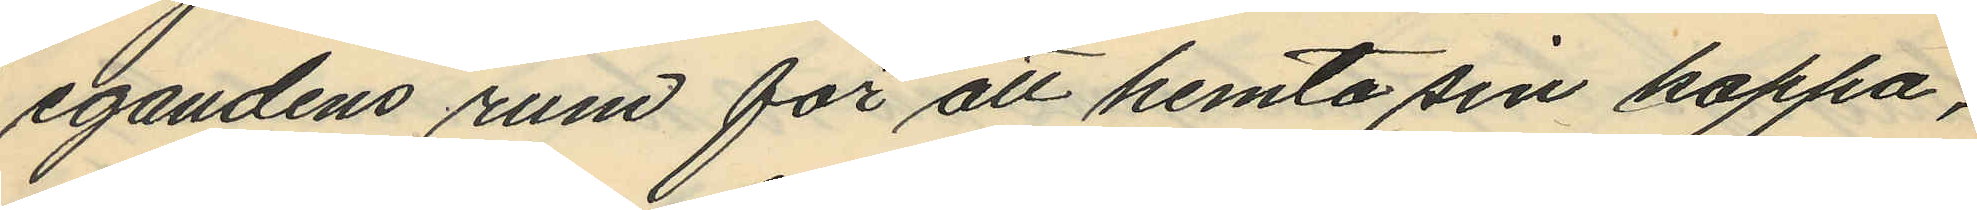egandens rum för att hemta sin kappa,
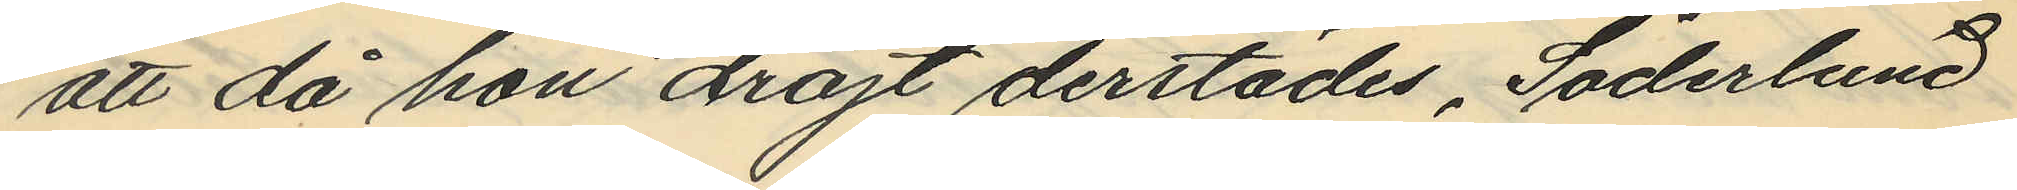att då hon dröjt derstädes, Söderlund
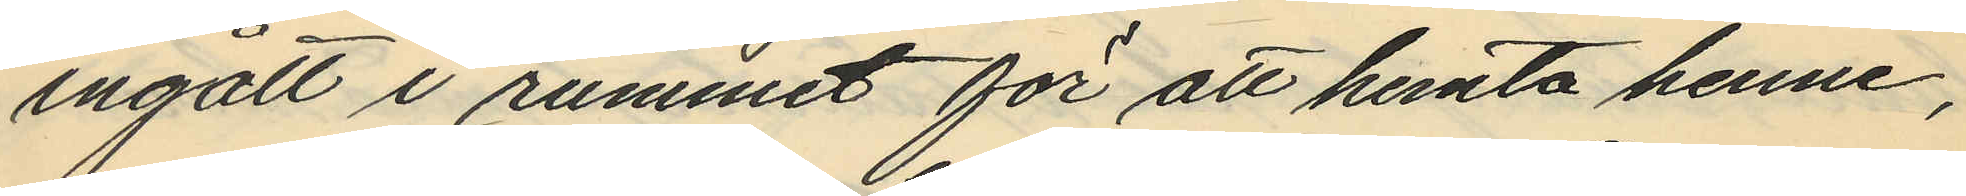ingått i rummet för att hemta henne,
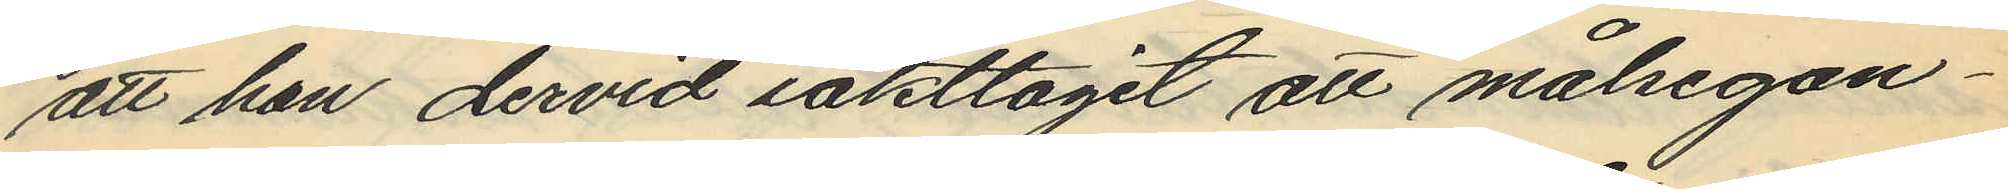att han dervid iakttagit att målsegan¬
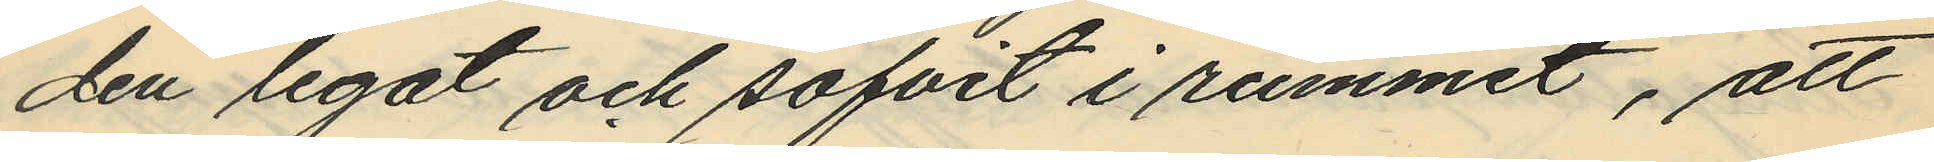den legat och sofvit i rummet, att
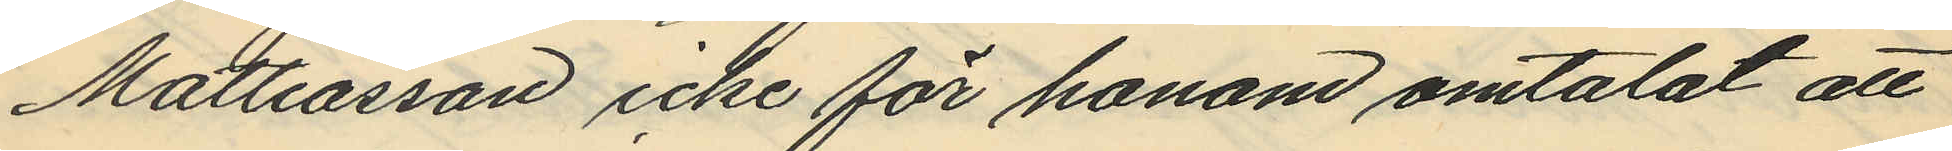Mattiasson icke för honom omtalat att
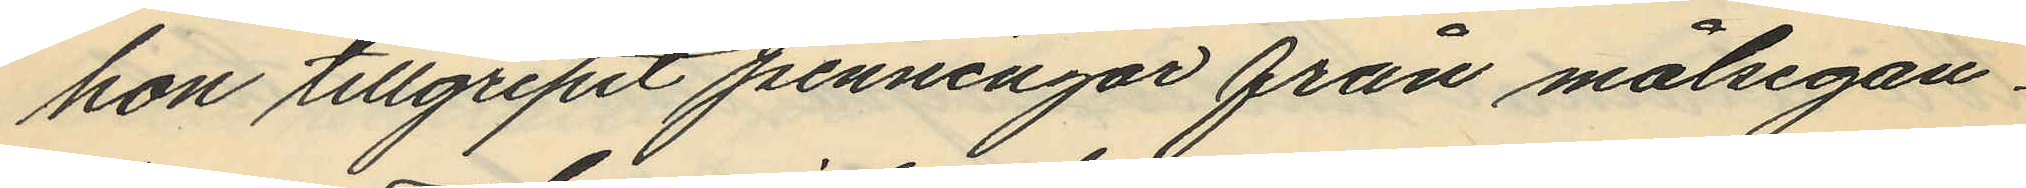hon tillgripit penningar från målsegan¬
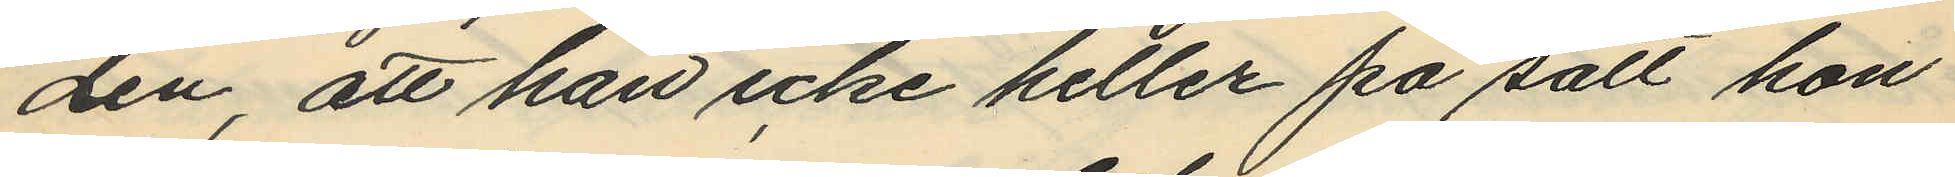den, att han icke heller på sätt hon
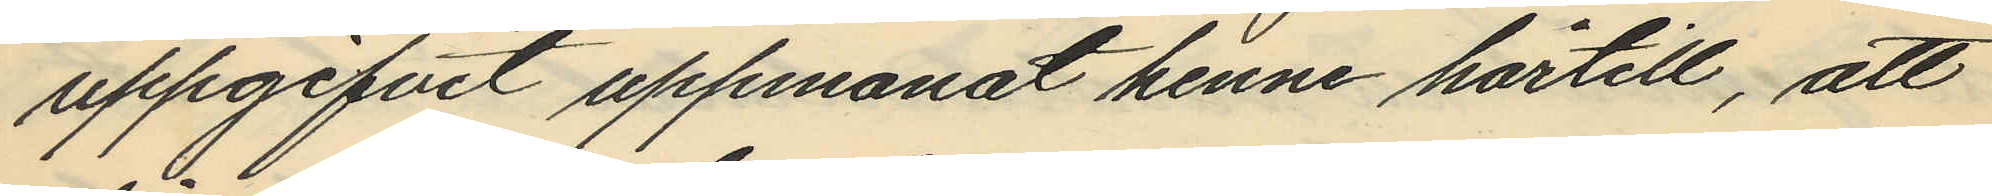uppgifvit uppmanat henne härtill, att
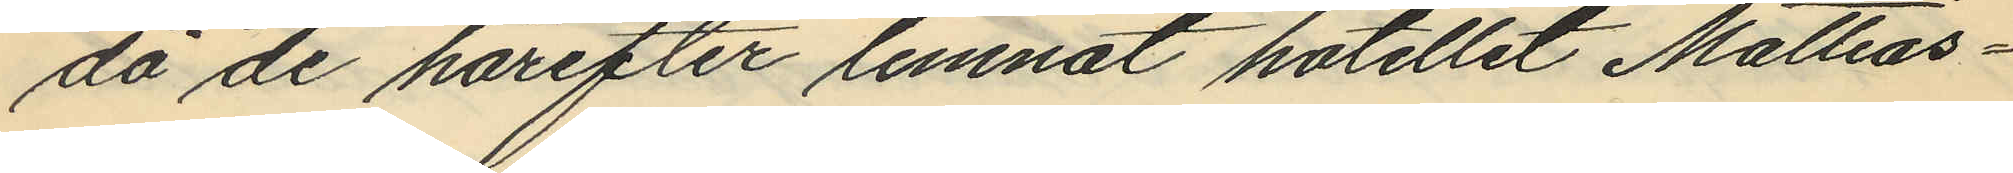då de härefter lemnat hotellet Mattias¬
